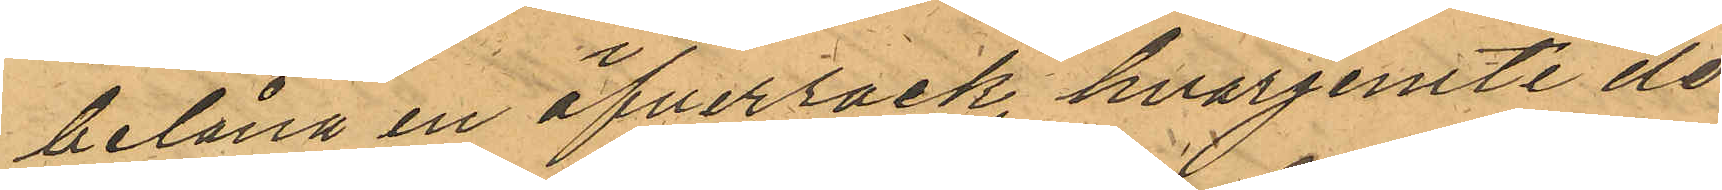belåna en öfverrock, hvarjemte de
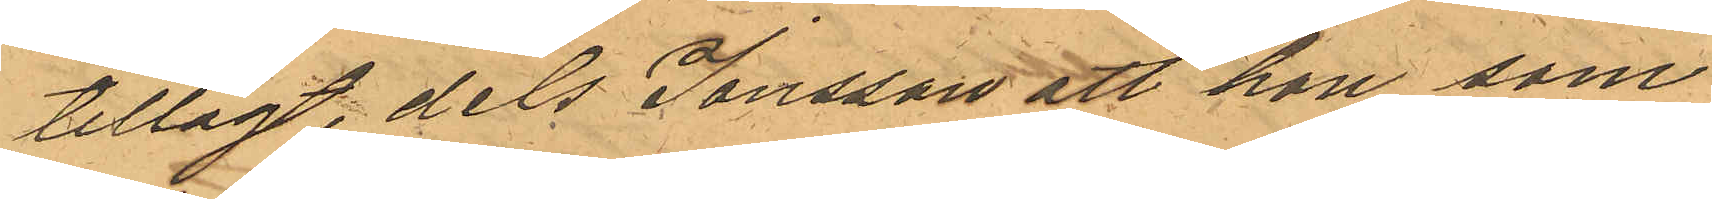tillagt, dels Jonsson att hon som
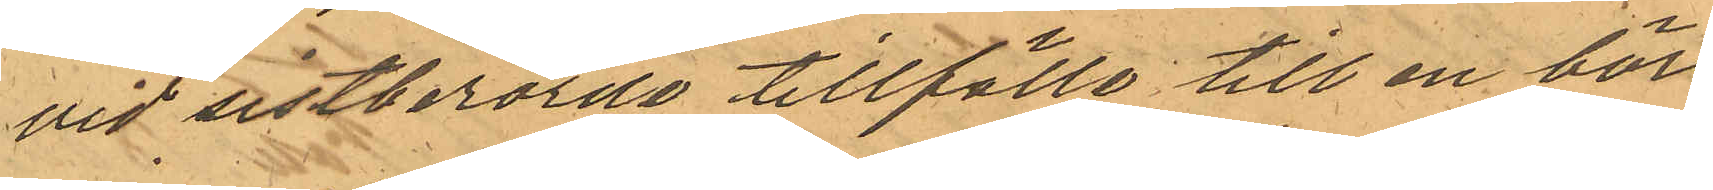vid sistberörde tillfälle till en bör¬
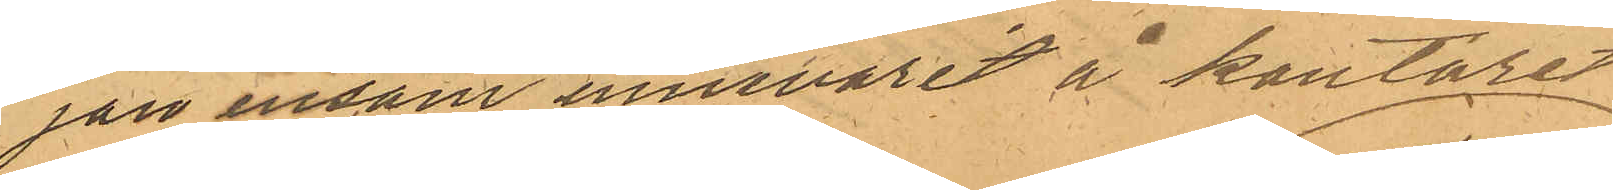jan ensam innevarit å kontoret
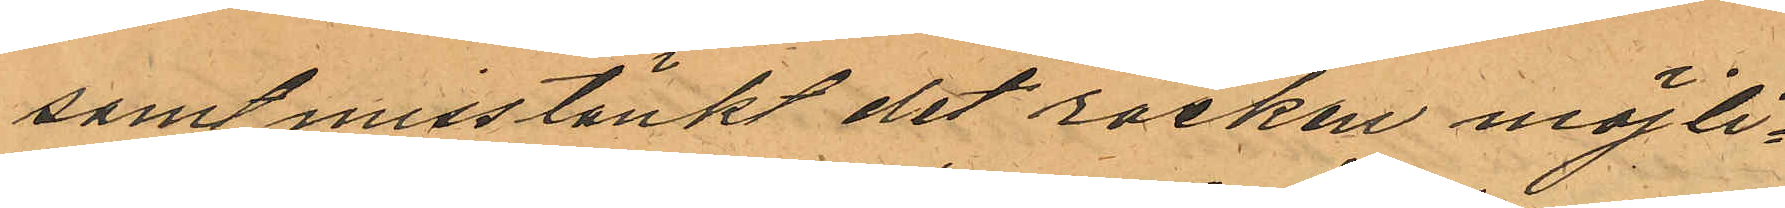samt misstänkt det rocken möjli¬
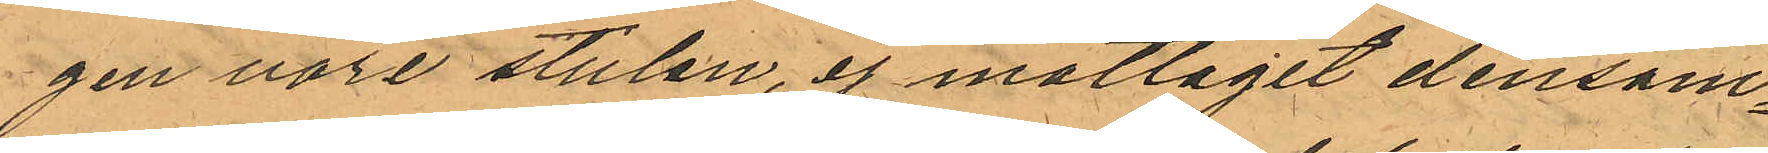gen vore stulen, ej mottagit densam¬
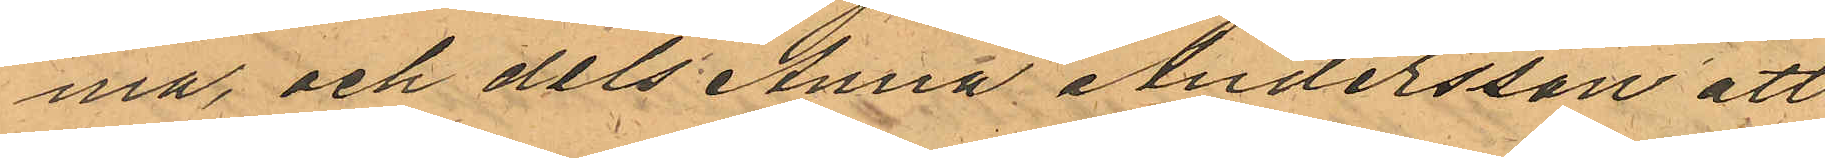ma och dels Anna Andersson att
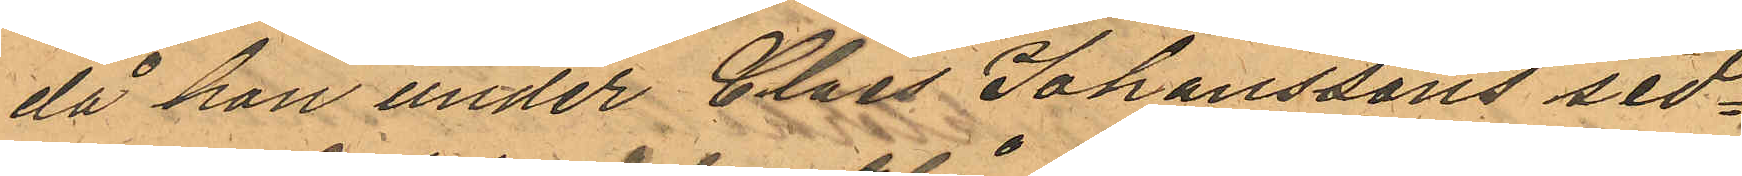då hon under Claes Johanssons sed¬
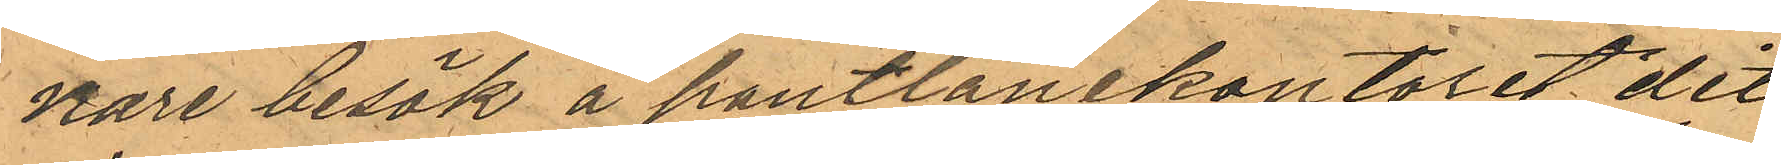nare besök å pantlånekontoret dit
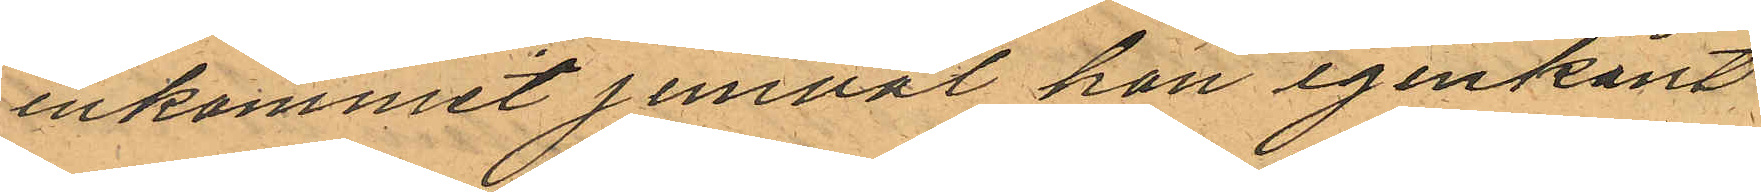inkommit jemväl hon igenkänt
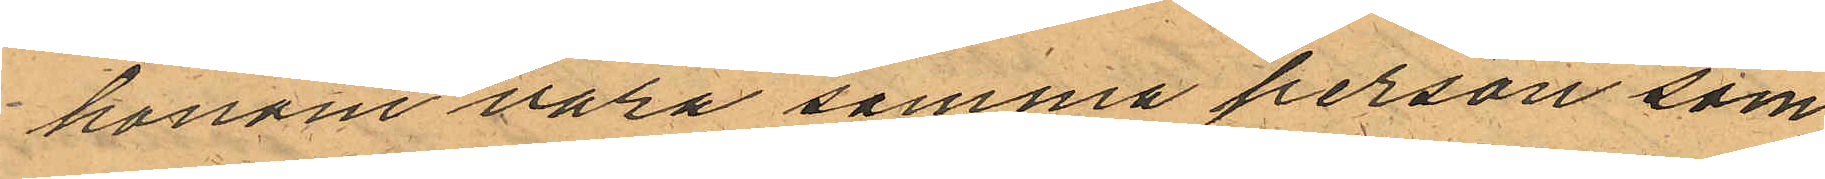honom vara samma person som
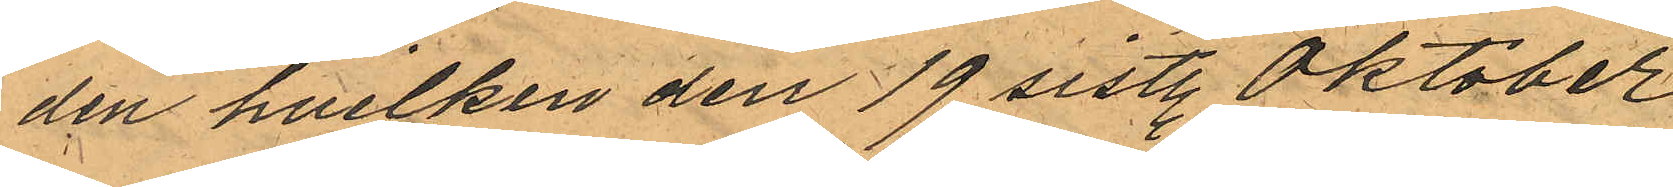den hvilken den 19 sistl. Oktober
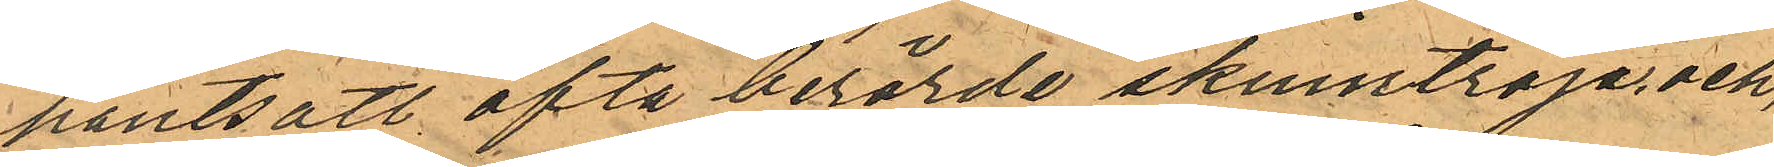pantsatt ofta berörde skinntröja, och,
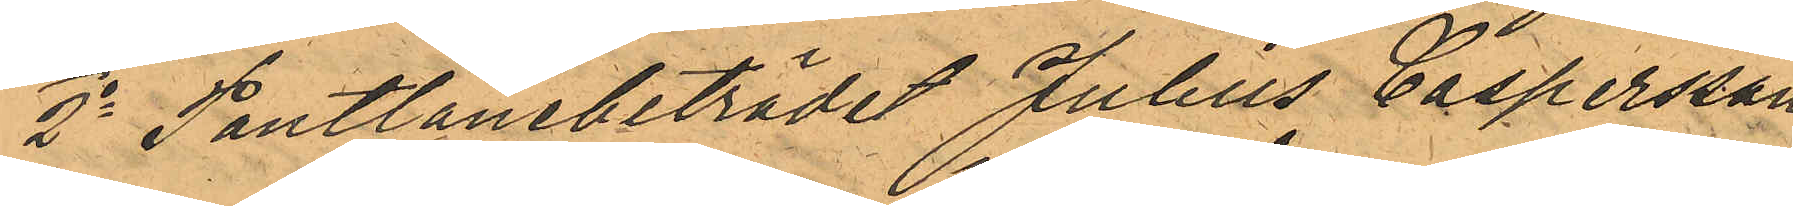2o Pantlånebiträdet Julius Caspersson
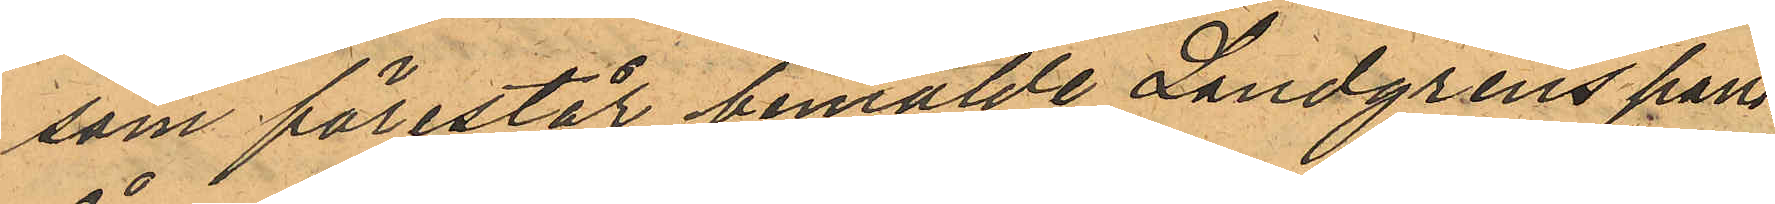som förestår bemälde Landgrens pant¬
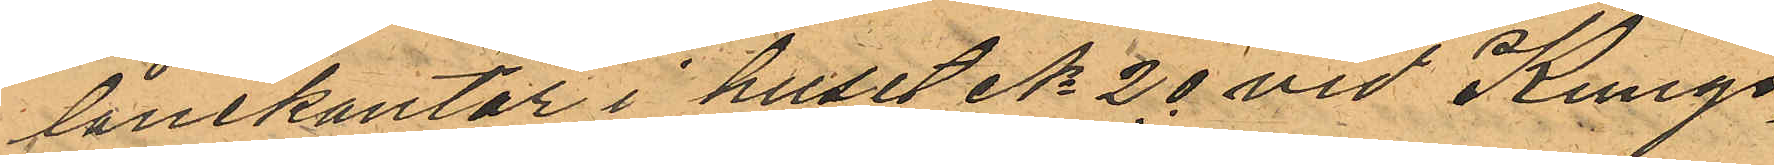lånekontor i huset No 20 vid Kungs¬
